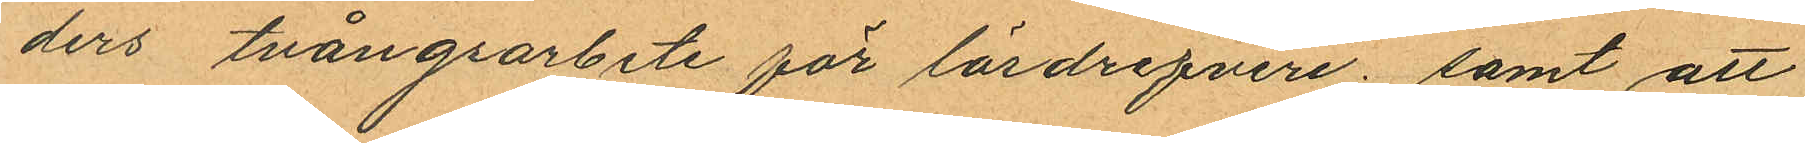ders tvångsarbete för lösdrifveri; samt att
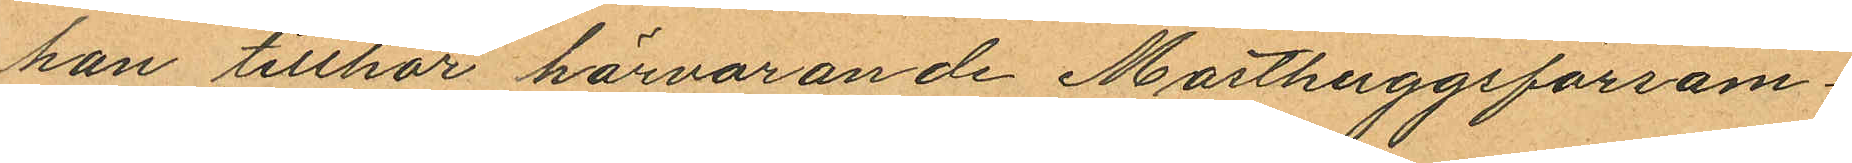han tillhör härvarande Masthuggsförsam¬
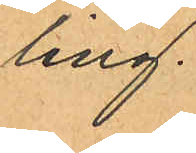ling.
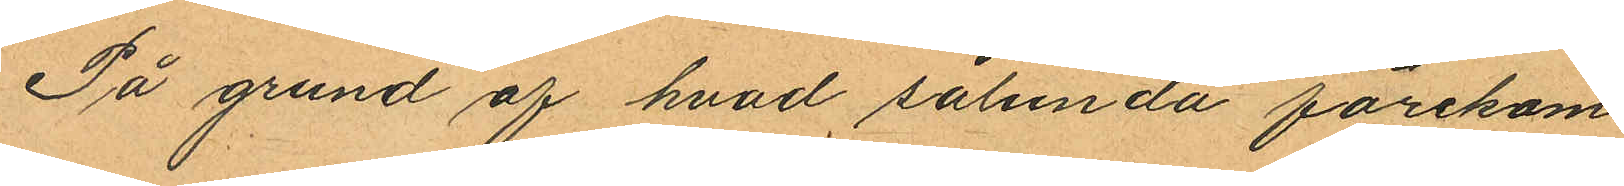På grund af hvad sålunda förekom
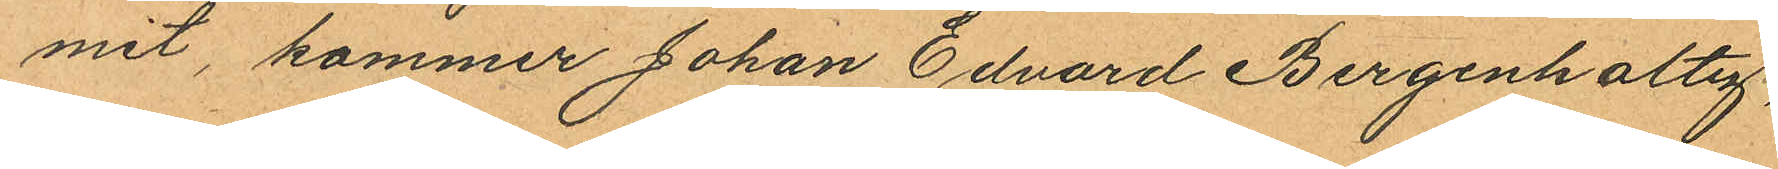mit, kommer Johan Edvard Bergenholtz
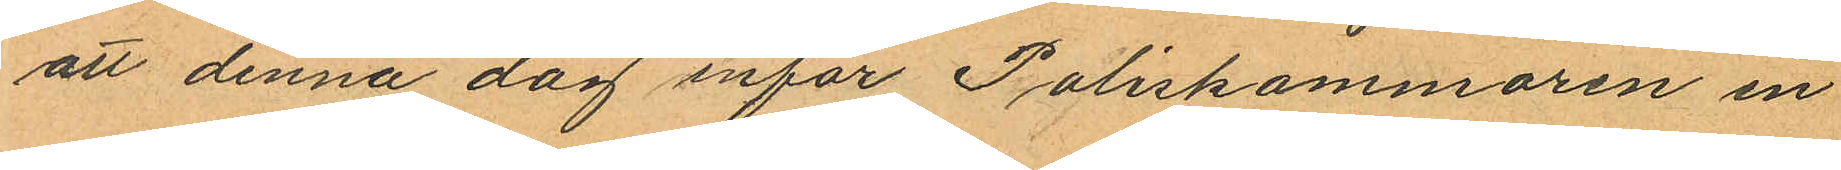att denna dag infor Poliskammaren in
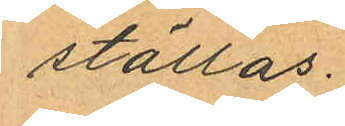ställas.
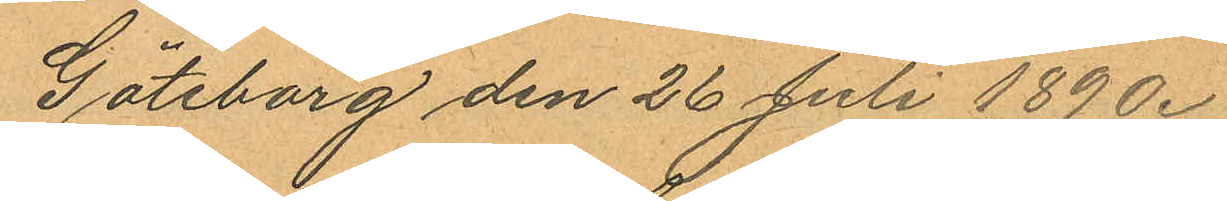Göteborg den 26 Juli 1890.
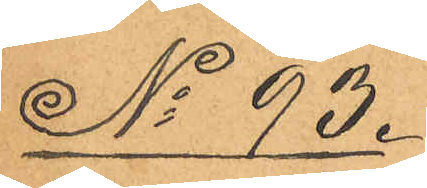No 93.
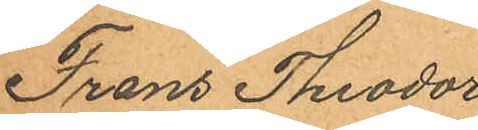Frans Theodor
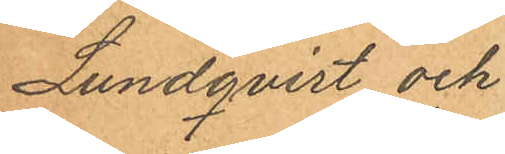Lundqvist och
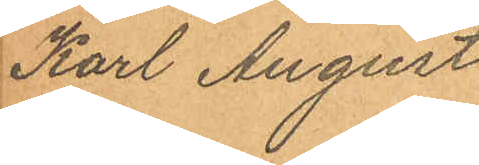Karl August
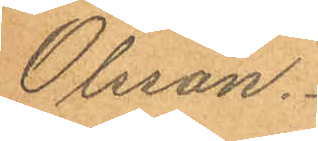Olsson.
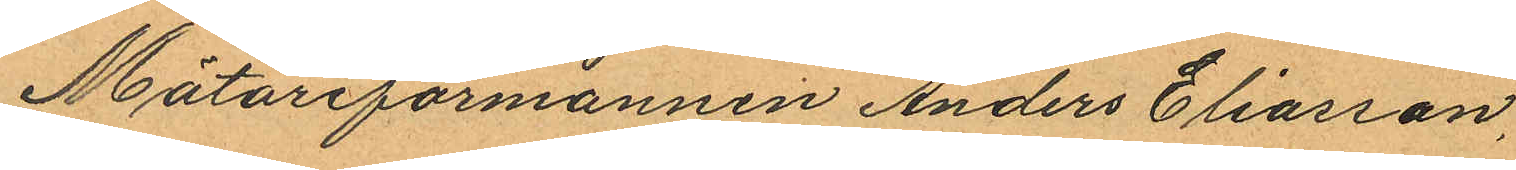Mätareförmannen Anders Eliasson,
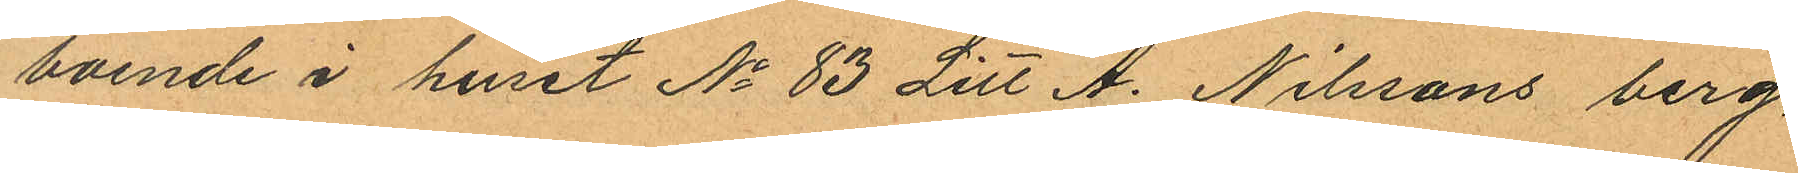boende i huset No 83 Litt A. Nilssons berg,
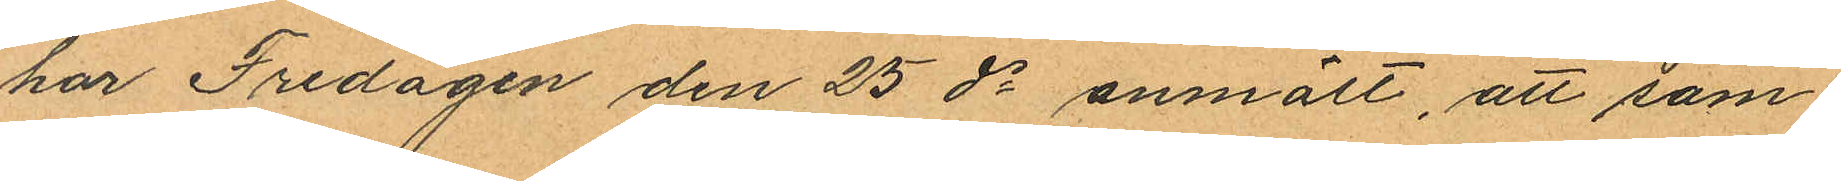har Fredagen den 25 ds anmält, att sam¬
